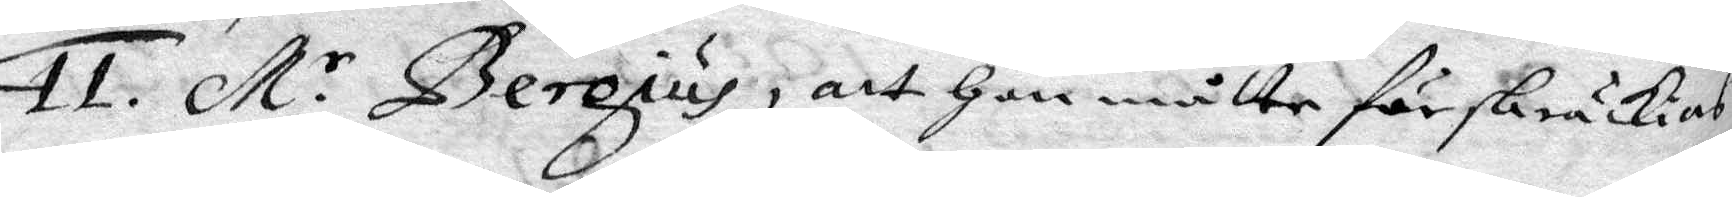11. M.r Bergius, att Hon måtte förskräckias
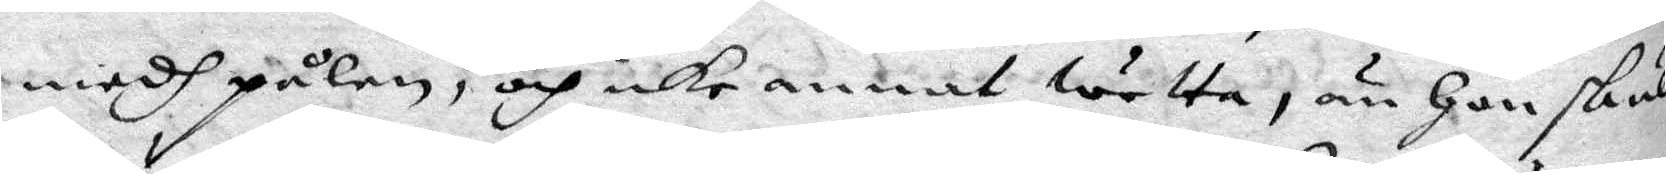medh pålen, och icke annat wetta, än Hon skul¬
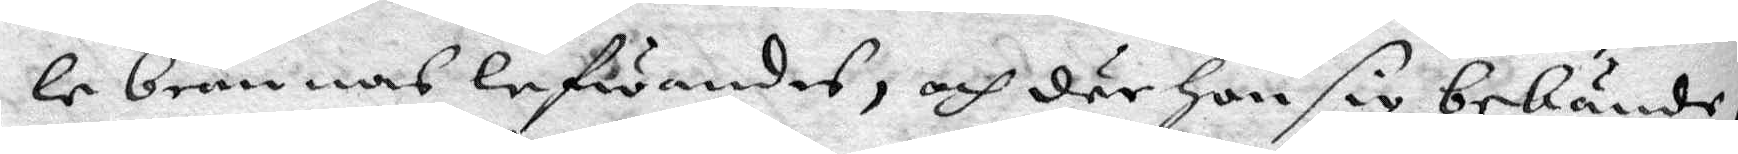le brännas lefwandes, och där hon sig bekände,
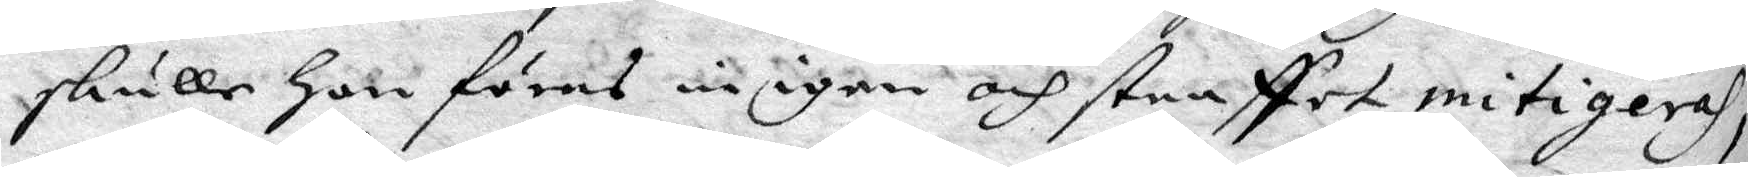skulle hon föras in igen och straffet mitigeras,
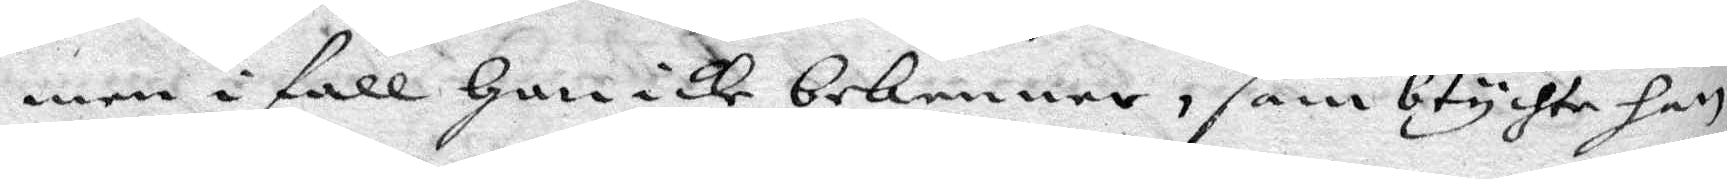men i fall Hon icke bekenner, sambtychte han,
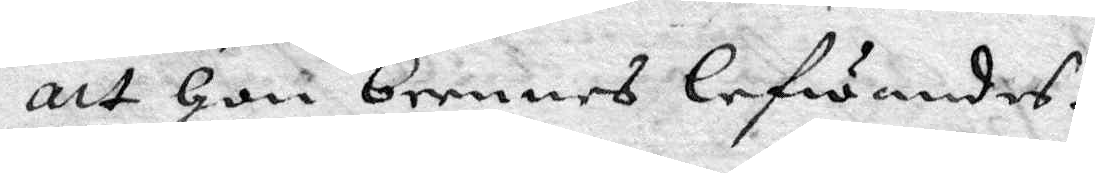att Hon brennes lefwandes.
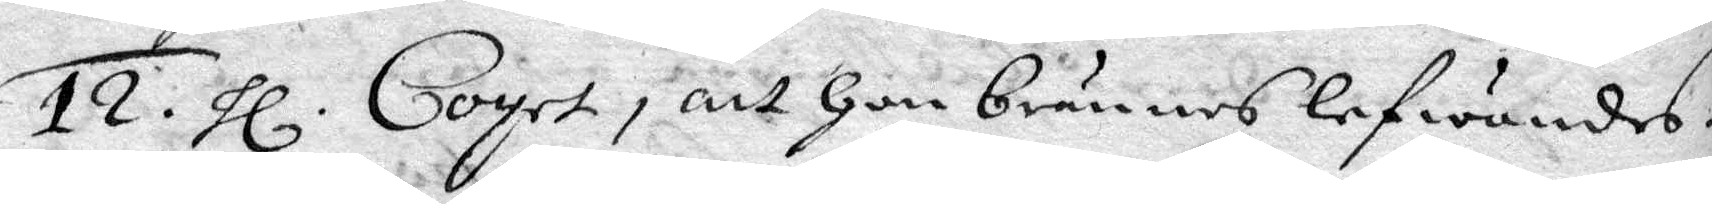12. hl. Coyet, att Hon brännes lefwandes.
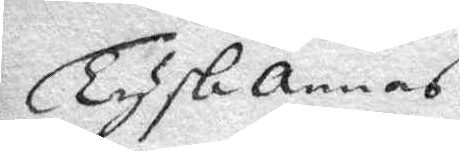Tysk Annas
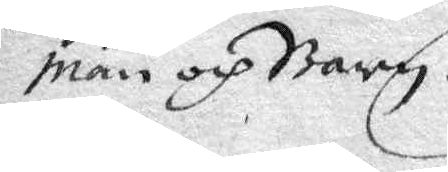man och Barn.
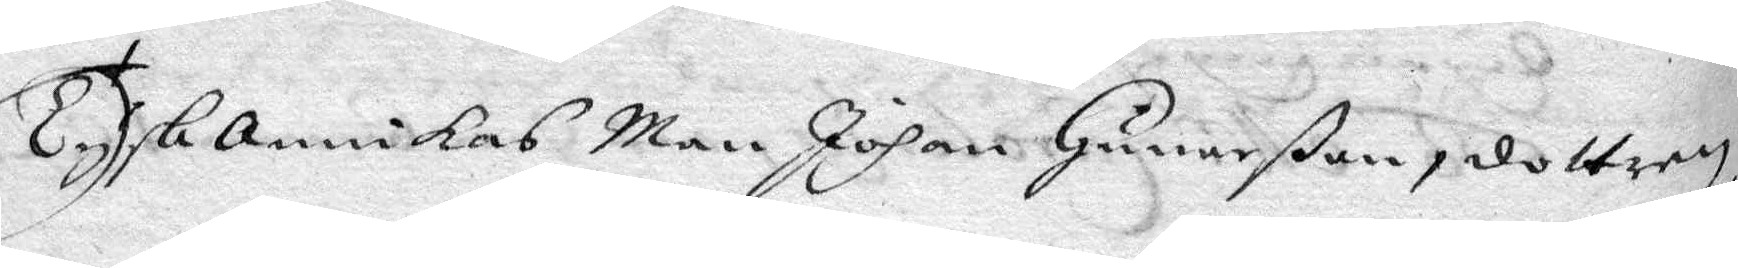Tysk annikas Man Johan Gunarßon, dottren
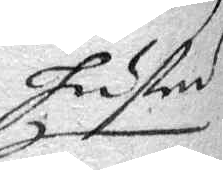hustru
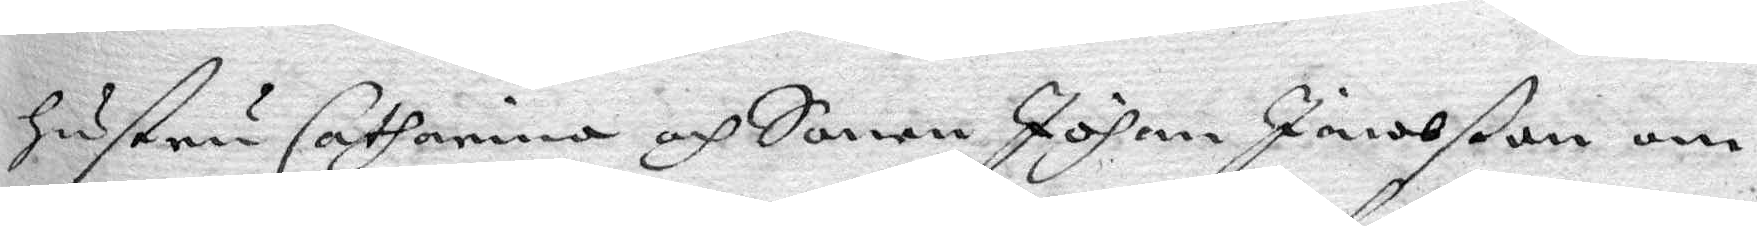hustru Catharina och Sonen Johan Jacobßon om
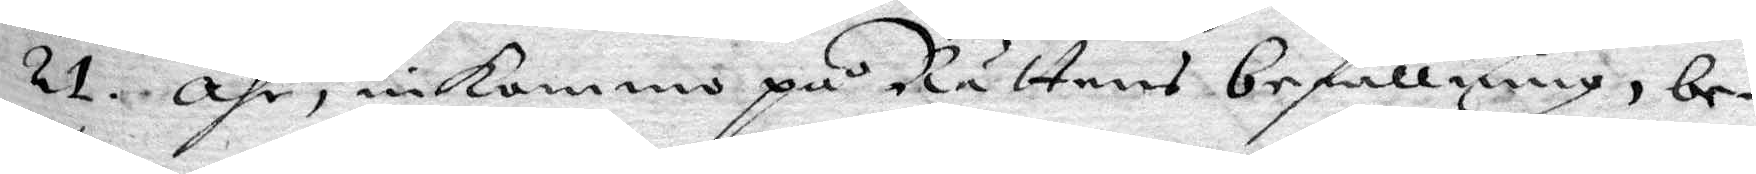21 åhr, inkommo på Rättens befallning, be¬
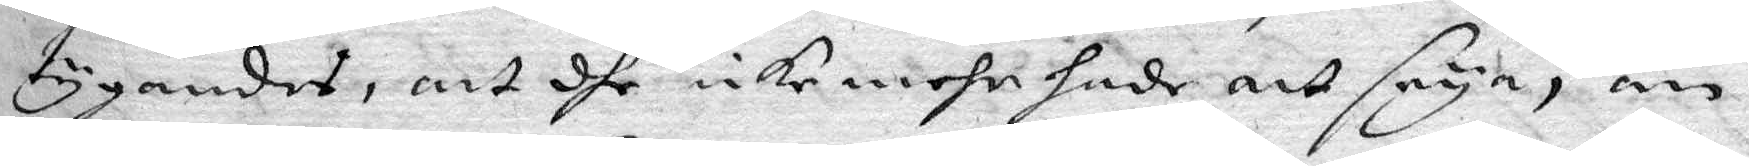tygandes, att dhe icke mehr hade att seya, än
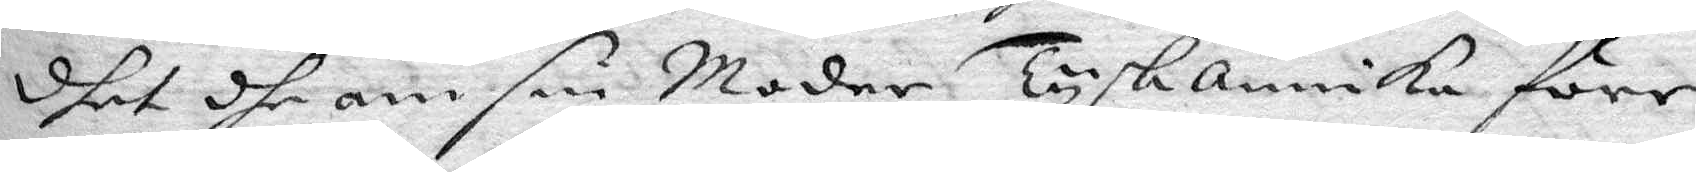dhet dhe om sin Moder Tysk annika före
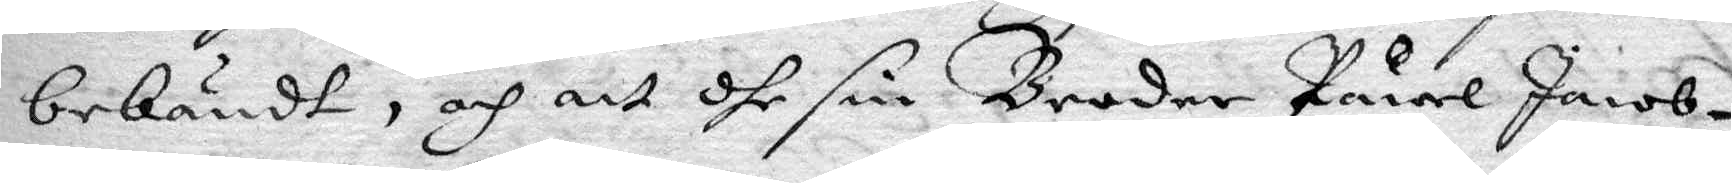bekändt, och att dhe sin Broder Påwel Jacob¬
